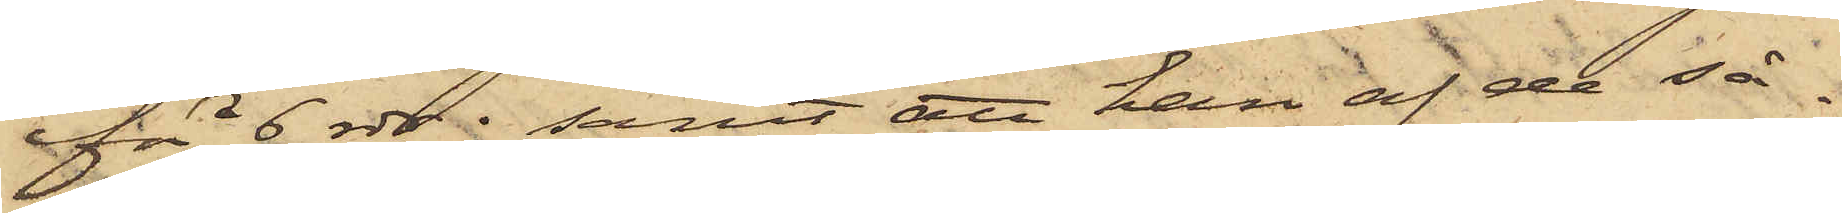för 6 rdr; samt att han af de så¬
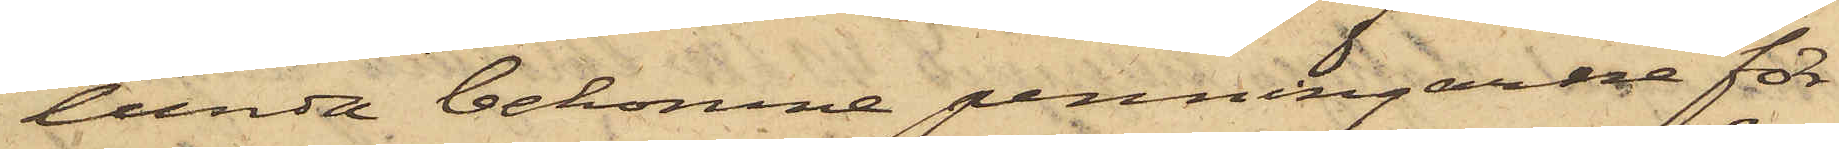lunda bekomne penningarne för¬
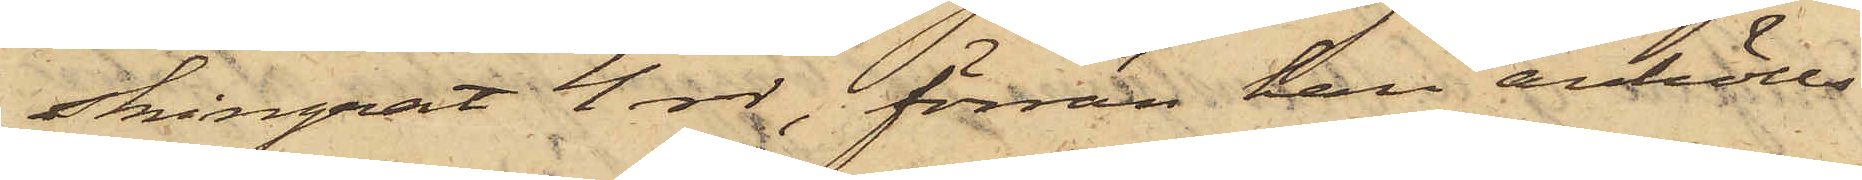skingrat 4 rdr, förrän han anhölls.
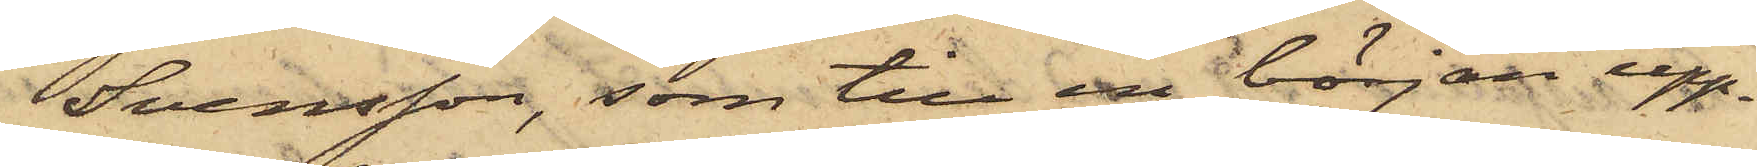Svensson, som till en början upp¬
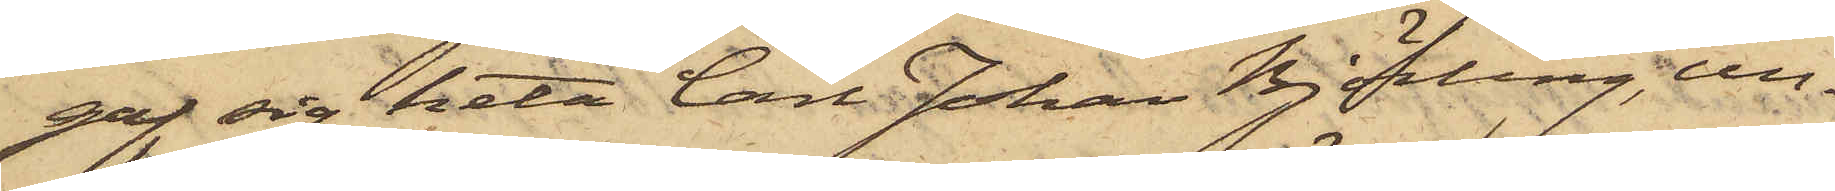gaf sig heta Carl Johan Björling, un¬
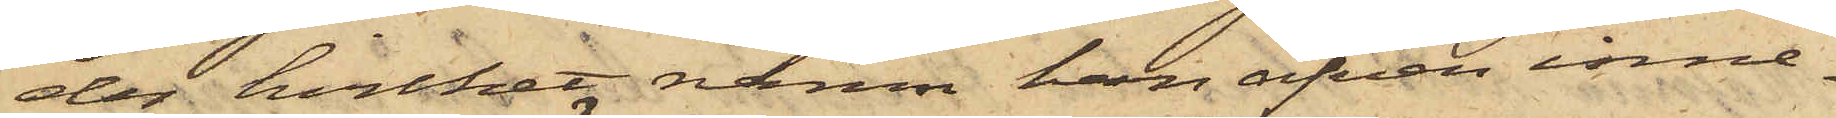der hvilket namn han äfven inne¬
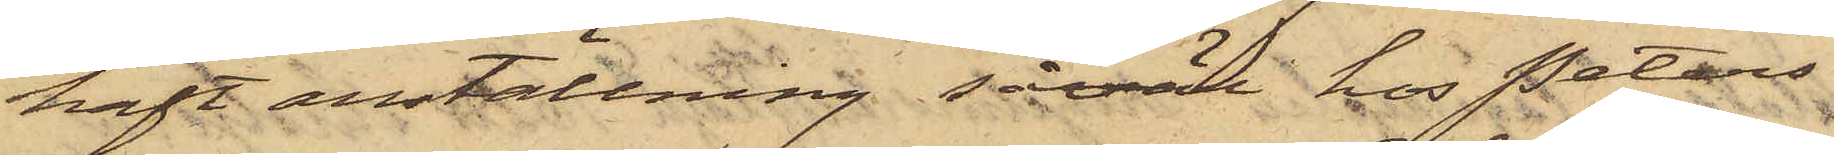haft anställning såväl hos Peters¬
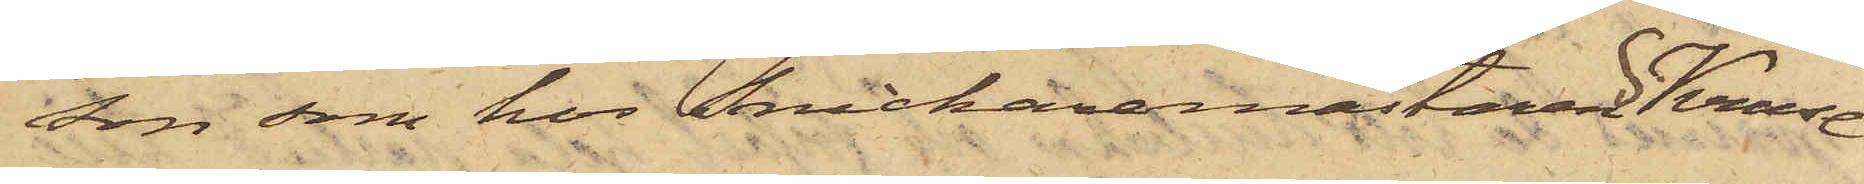son som hos Snickaremästaren S Kruse
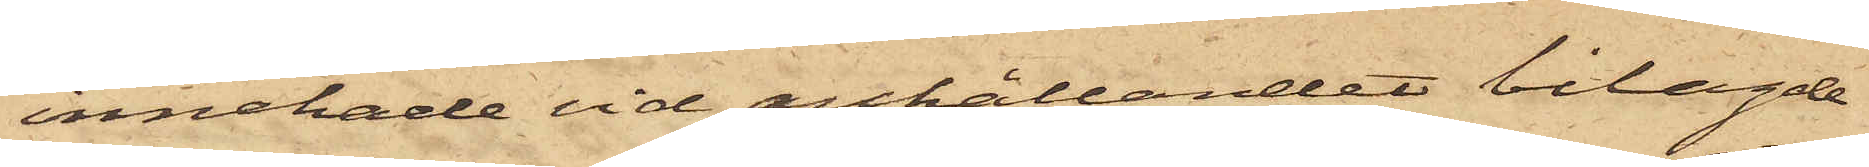innehade vid anhållandet bilagde
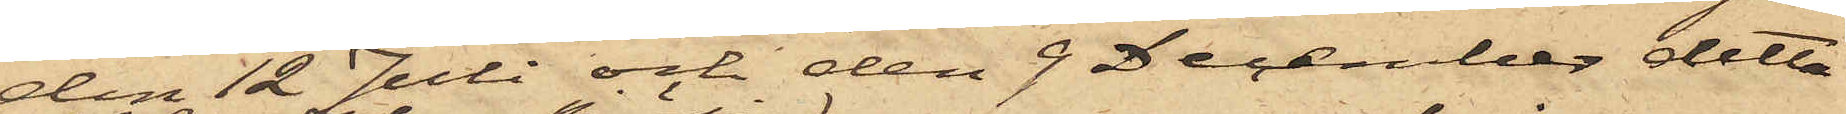den 12 Juli och den 9 December detta
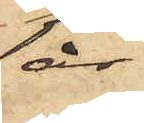år
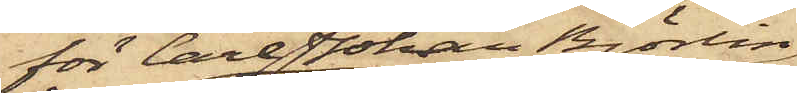för Carl Johan Björlin
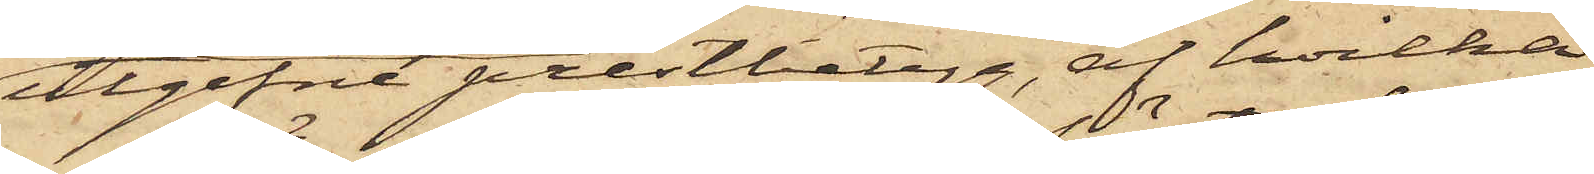utgifne prestbetyg, af hvilka
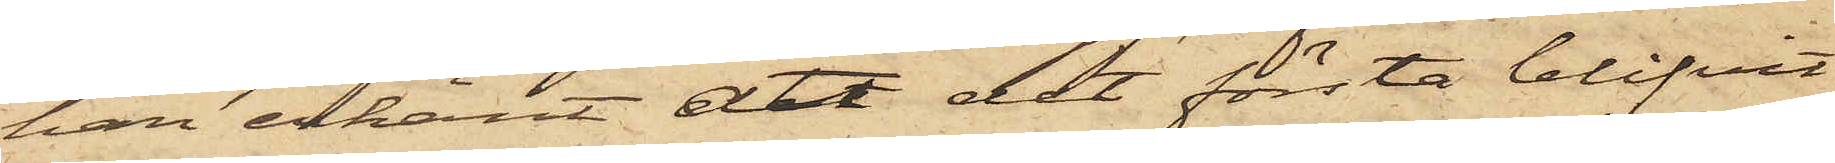han erkänt att det första blifvit
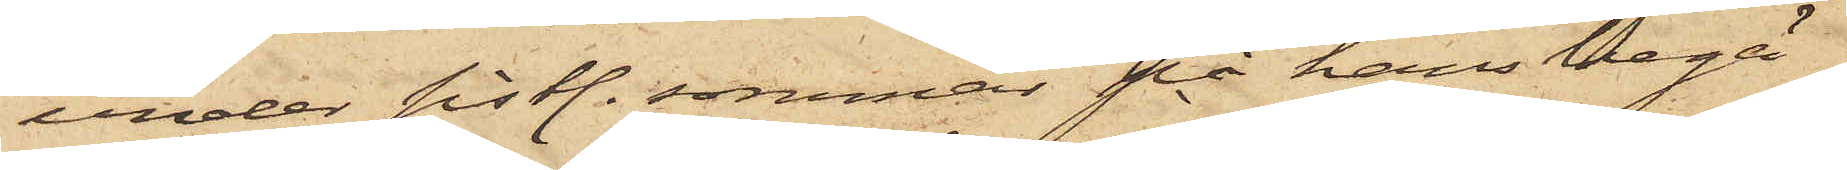under sistl. sommar på hans begä¬
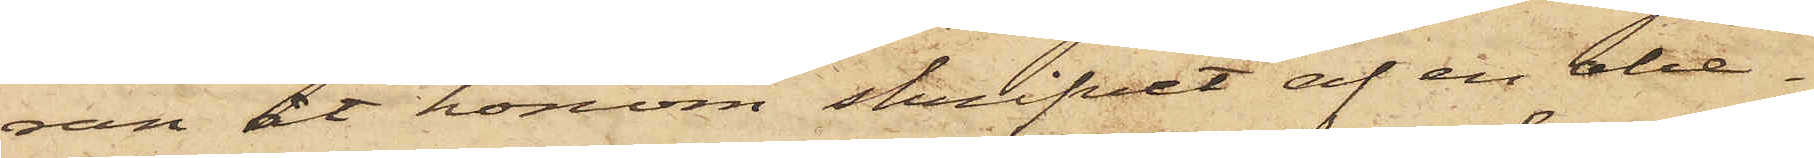ran åt honom skrifvet af en obe¬
